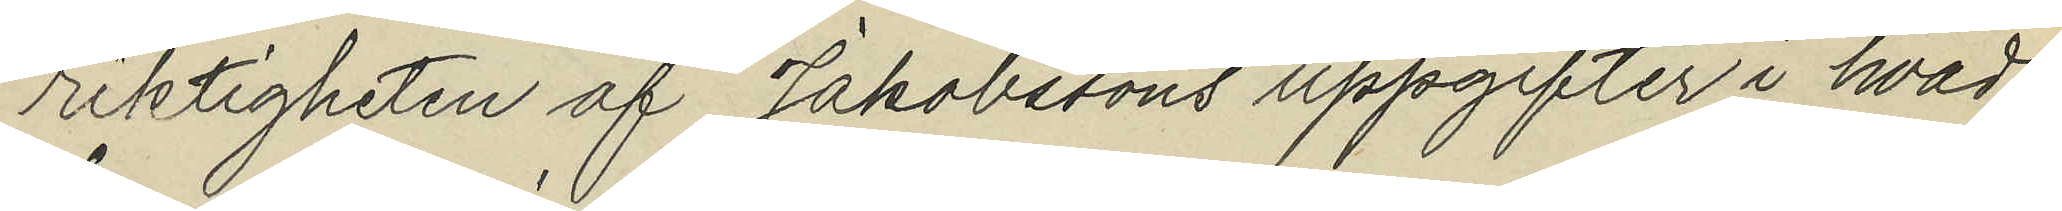riktigheten af Jakobssons uppgifter i hvad
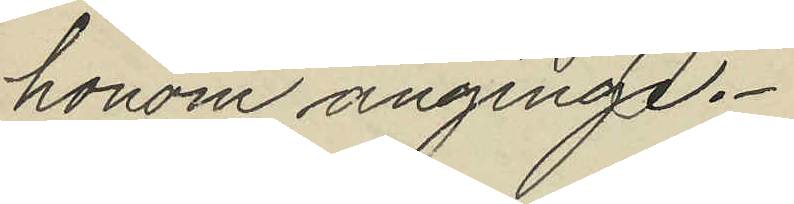honom anginge.
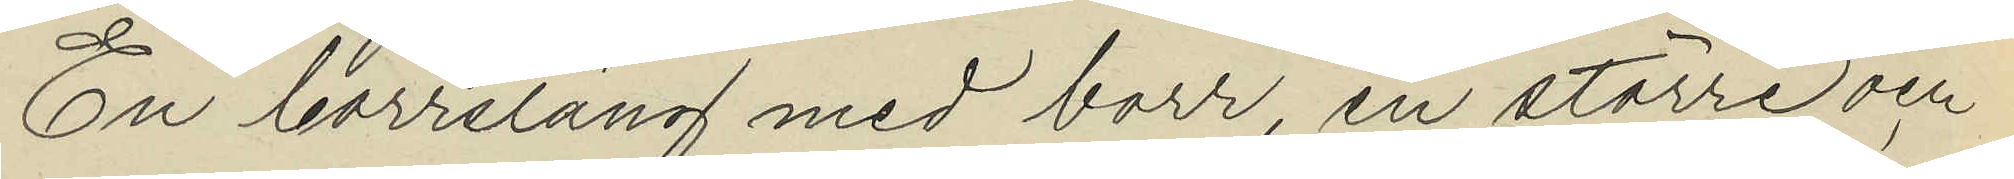En borrsläng med borr, en större och
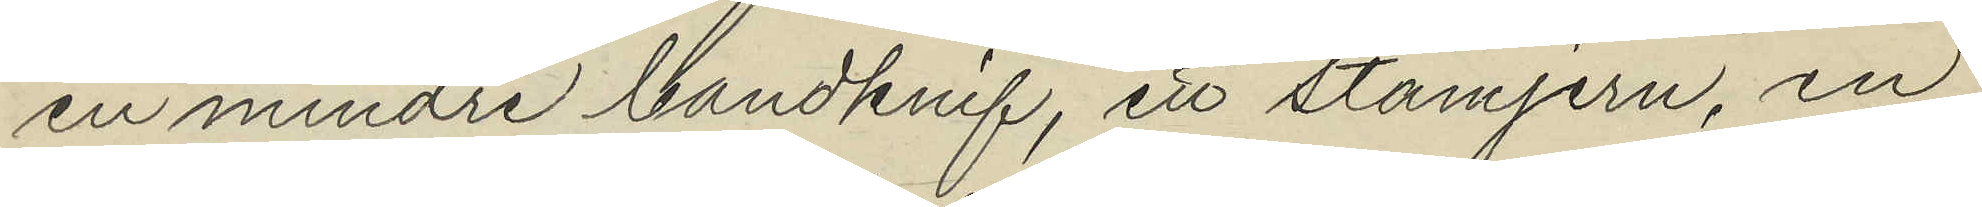en mindre bandknif, ett stämjern, en
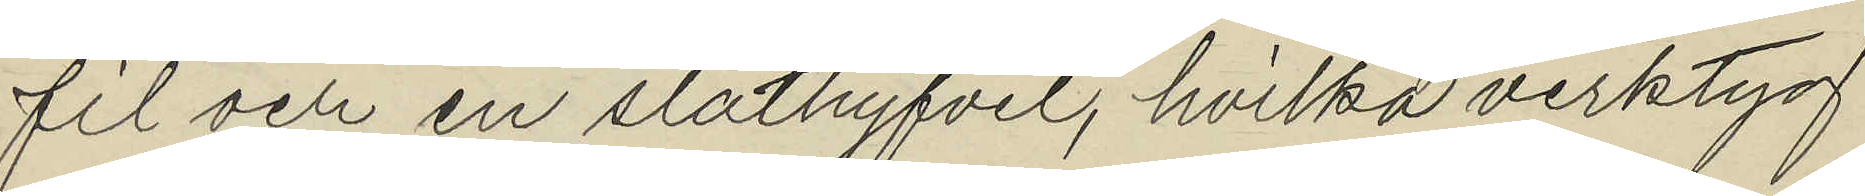fil och en släthyfvel, hvilka verktyg
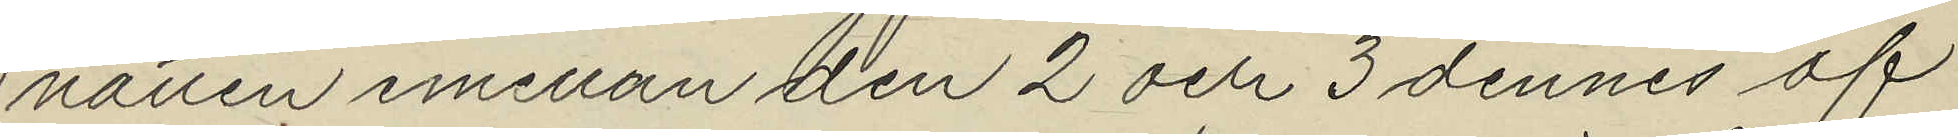natten mellan den 2 och 3 dennes af
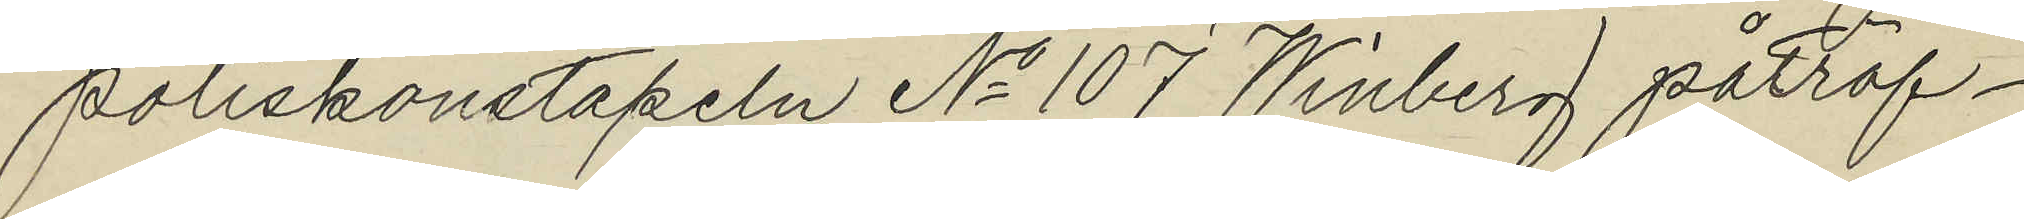poliskonstapeln No 107 Winberg påträf¬
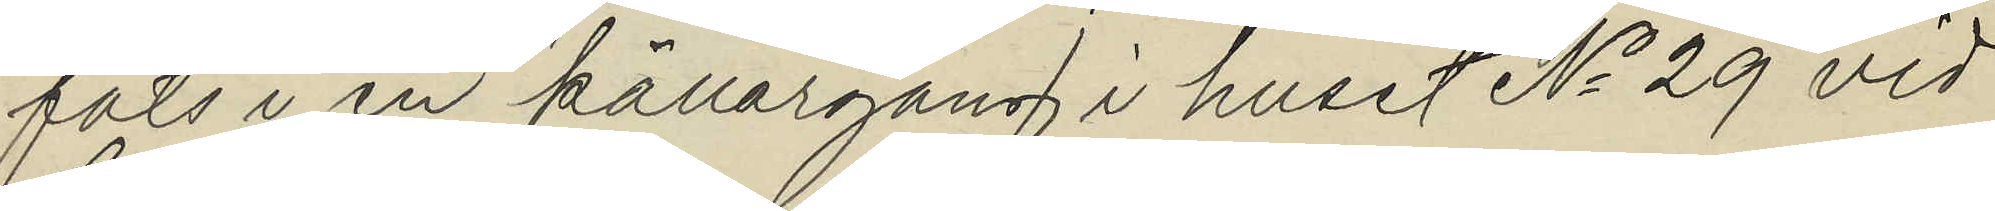fats i en källargång i huset No 29 vid
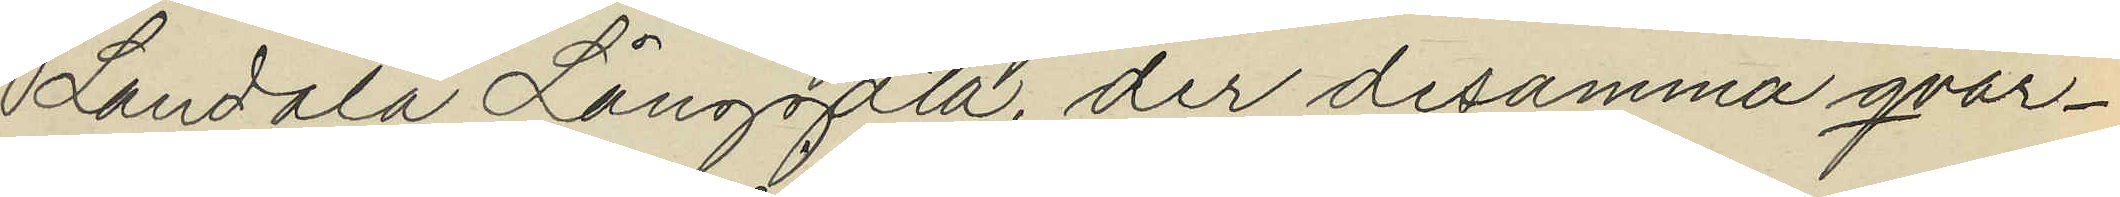Landala Långgata, der desamma qvar¬
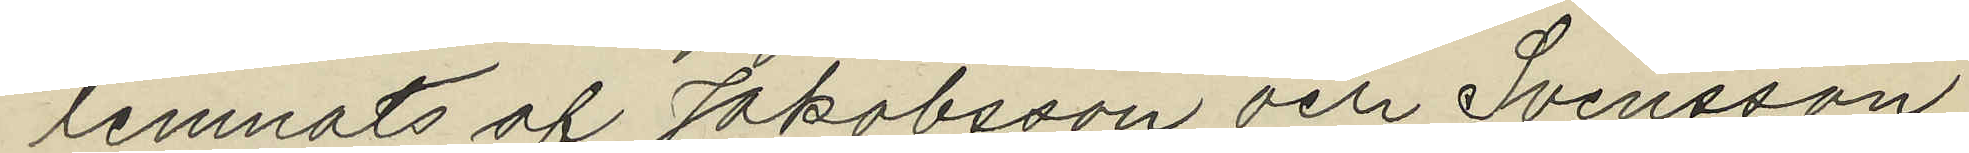lemnats af Jakobsson och Svensson
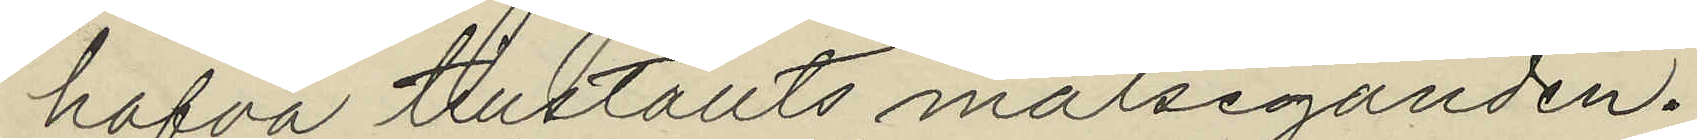hafva tillställts målseganden.
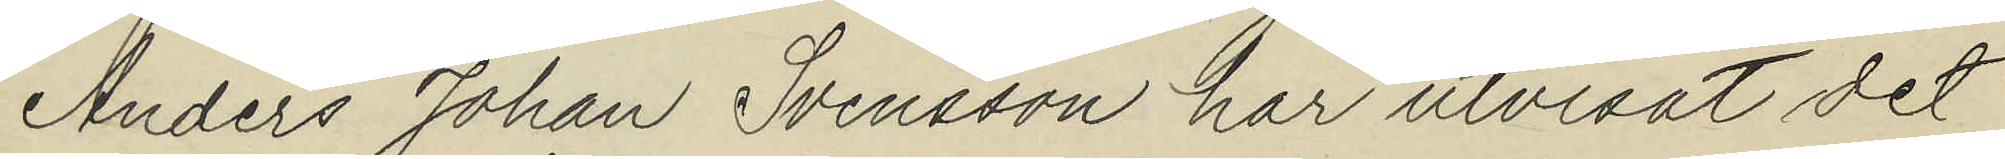Anders Johan Svensson har utvisat det
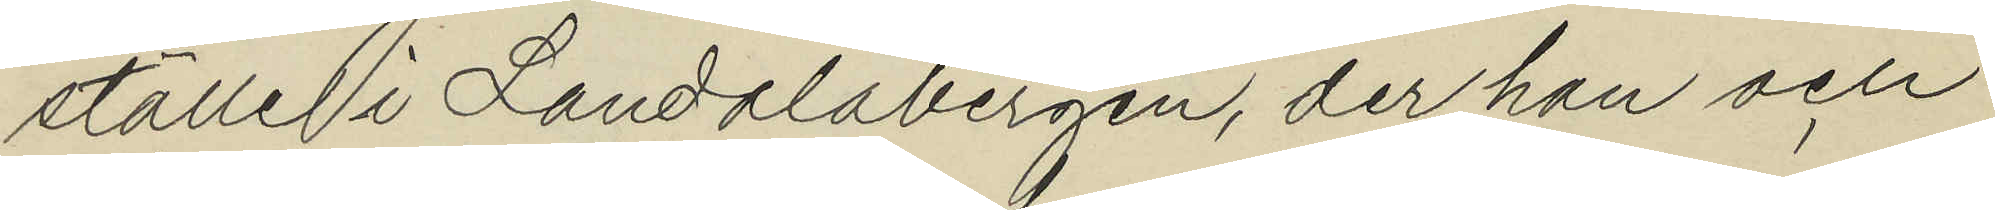ställe i Landalabergen, der han och
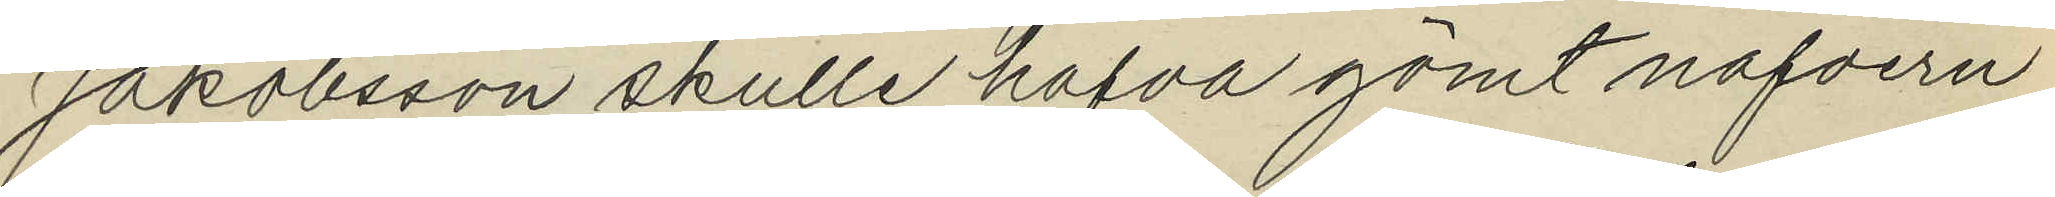Jakobsson skulle hafva gömt nafvern
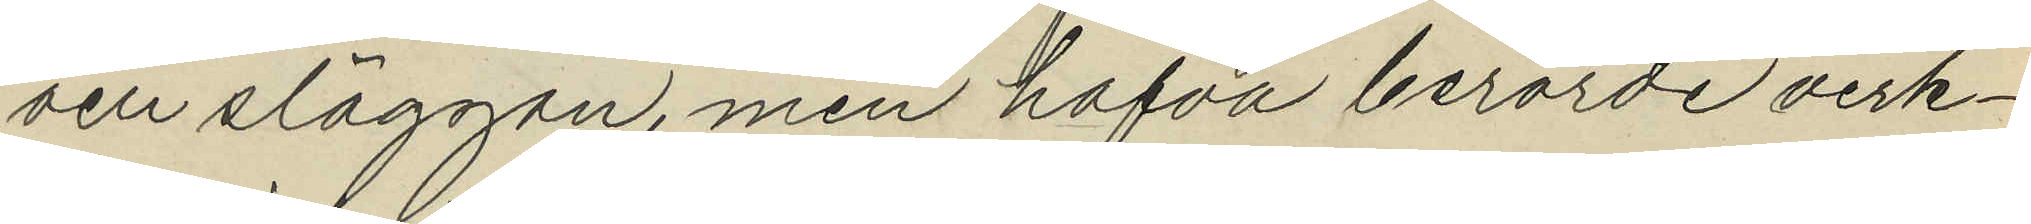och släggan, men hafva berörde verk¬
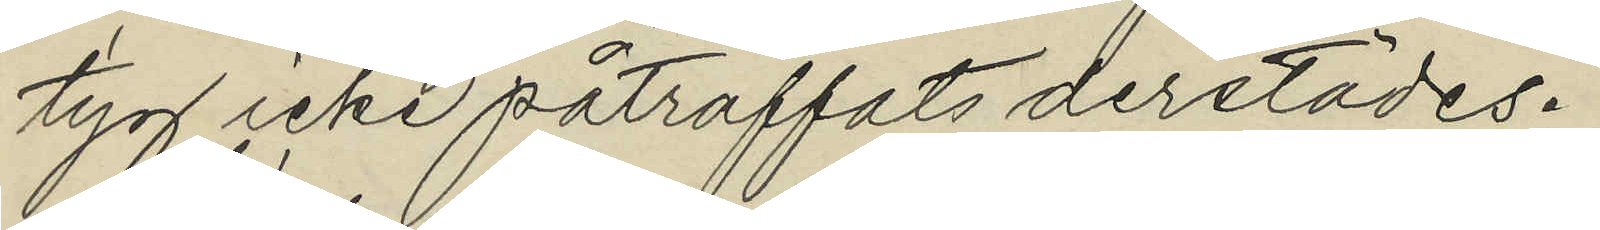tyg icke påträffats derstädes.
